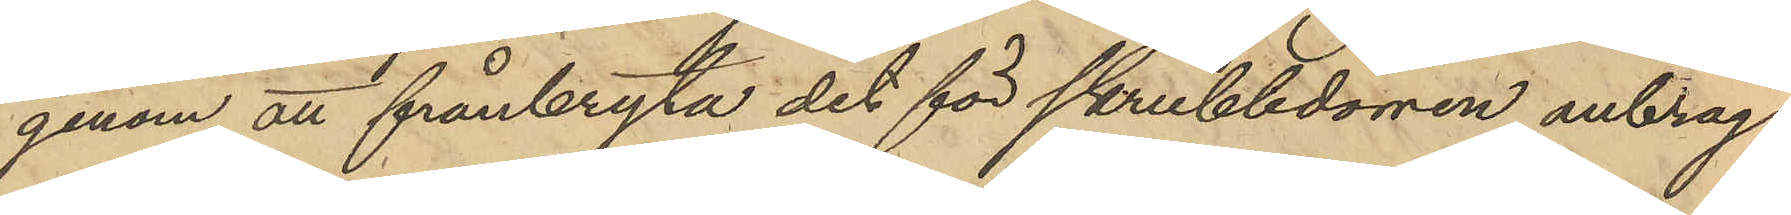genom att frånbryta det för skrubbdörren anbrag¬
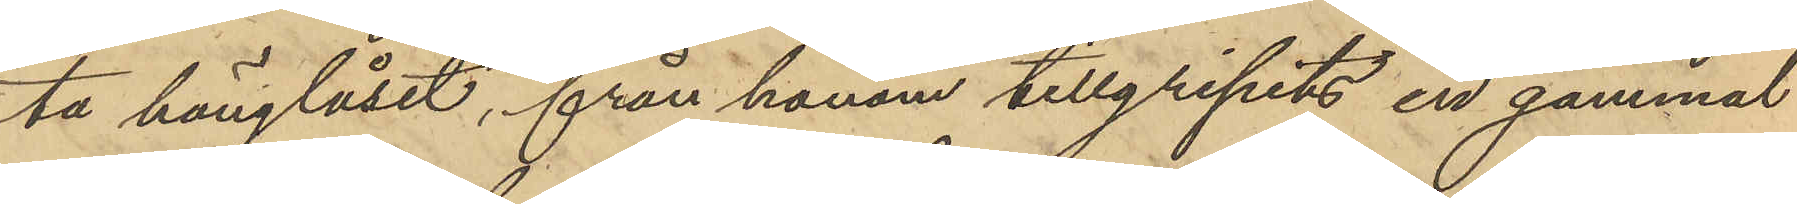ta hänglåset, från honom tillgripits en gammal
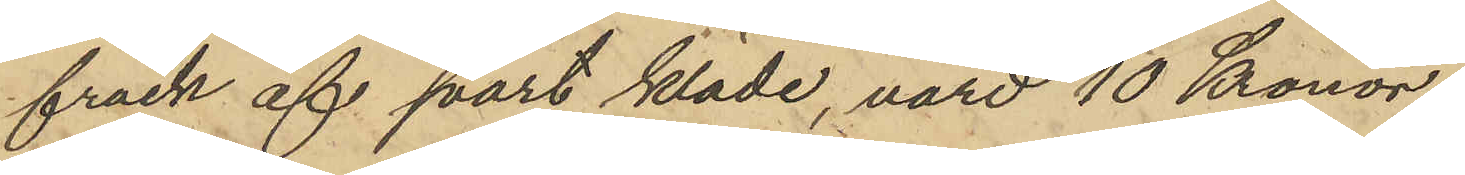frack af svart kläde, värd 10 Kronor
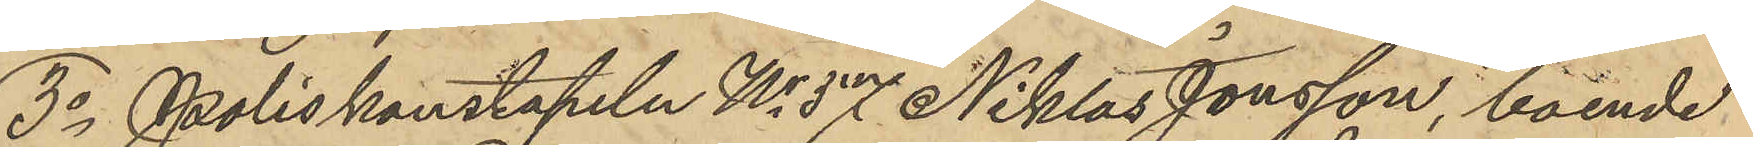3o Poliskonstapeln No 57 Niklas Jonsson, boende
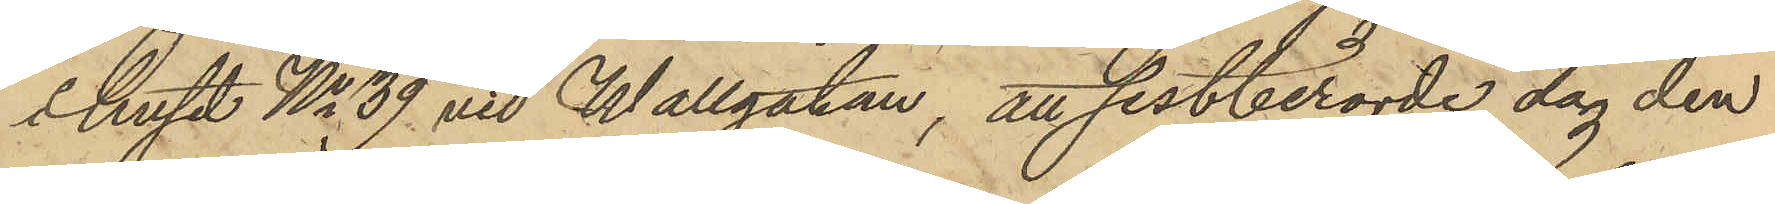i huset No 39 vid Wallgatan, att sistberörde dag den
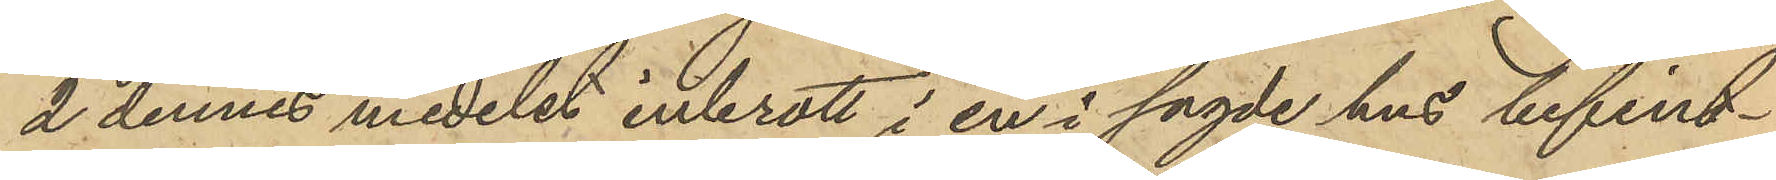2 dennes medelst inbrott i en i sagde hus befint¬
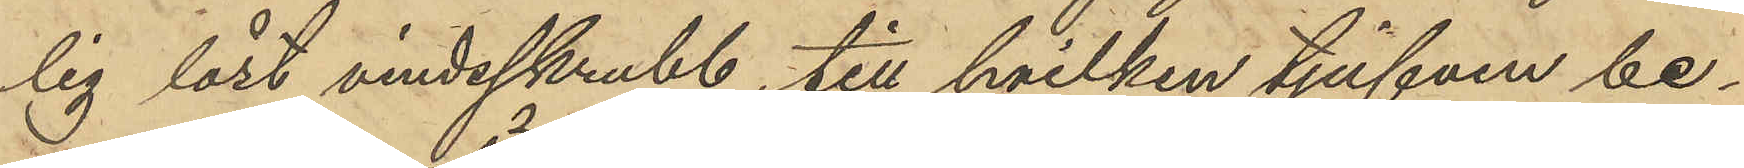lig låst vindsskrubb, till hvilken tjufven be¬
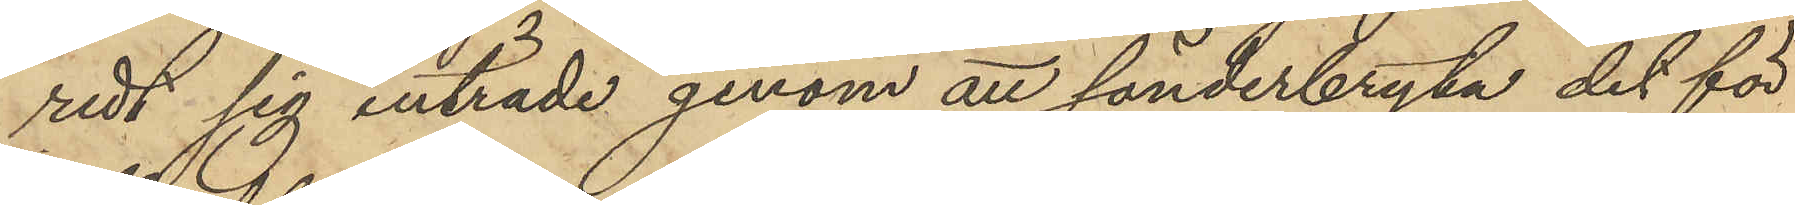redt sig inträde genom att sönderbryta det för
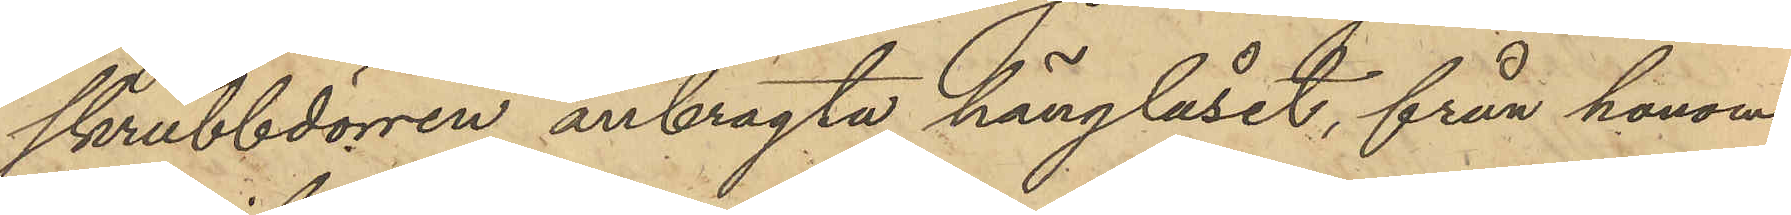skrubbdörren anbragta hänglåset, från honom
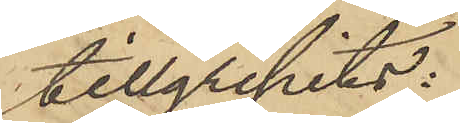tillgripits:
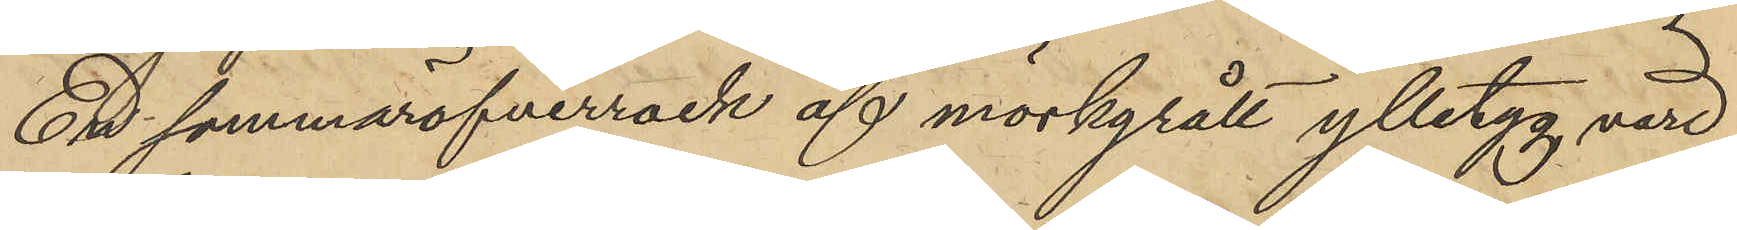En sommaröfverrock af mörkgrått ylletyg, värd
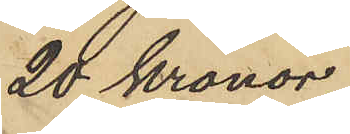20 Kronor,
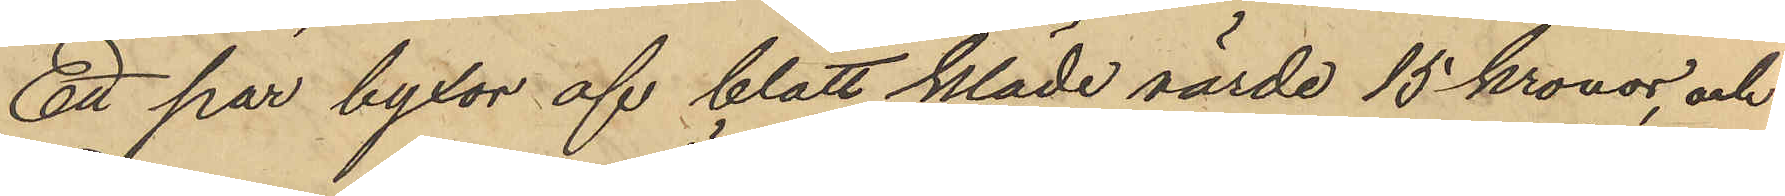Ett par byxor af blått kläde värde 15 kronor, och
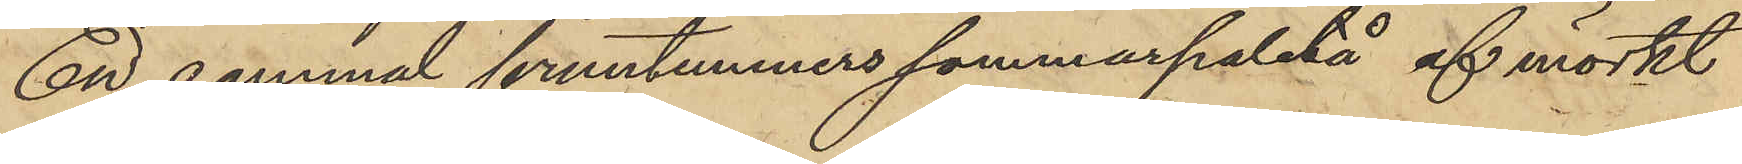En gammal fruntimmers sommarpaletå af mörkt
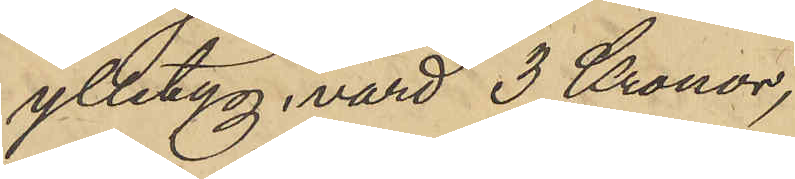ylletyg, värd 3 Kronor;
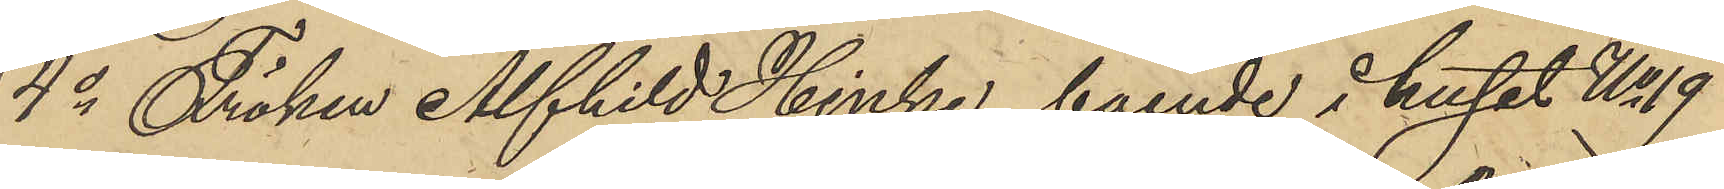4o Fröken Alfhild Hinke, boende i huset No 19
